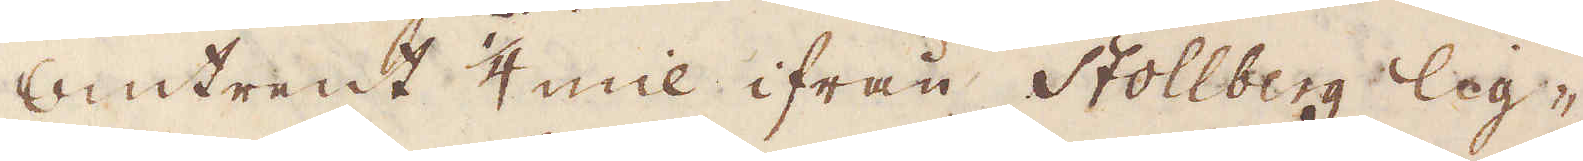Omtrent 1/4 mil ifrån Stollberg lig-
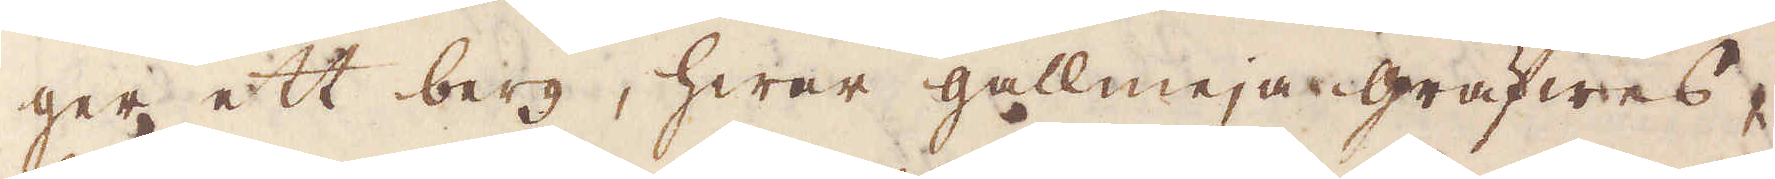ger ett berg, hwar gallmeja gräfwes,
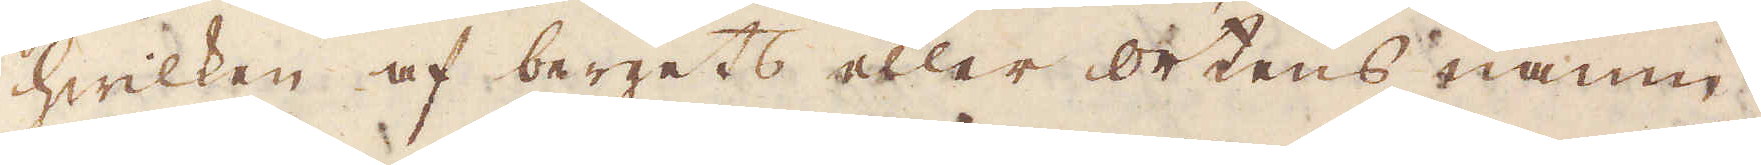hwilken af bergets eller ortens namn
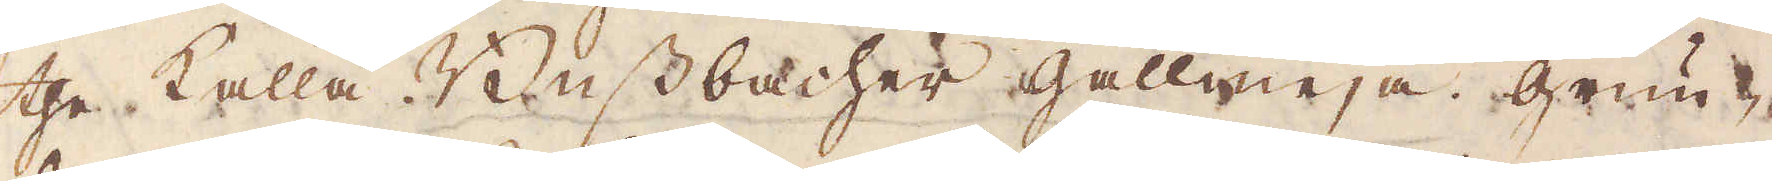the kalla Bussbacher gallmeja. Grun-
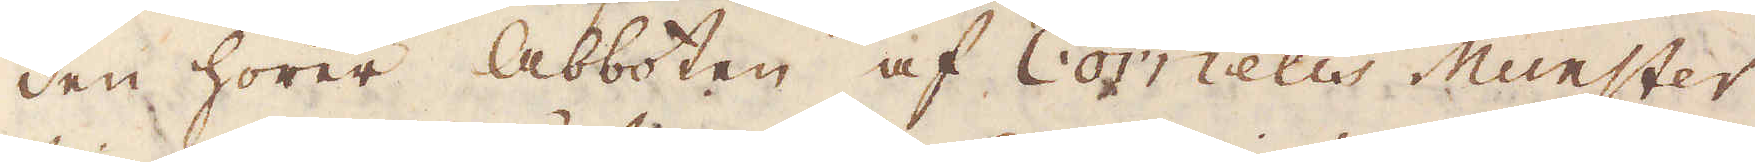den hörer Abboten af Cornelis Munster
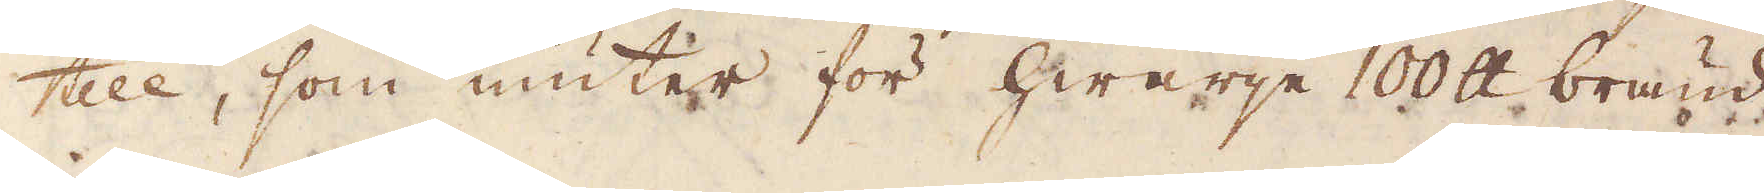till, som niuter för hwarje 100 skålpund bränd
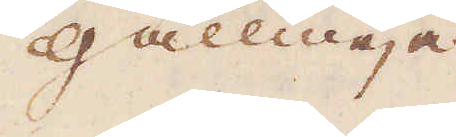Gallmeja
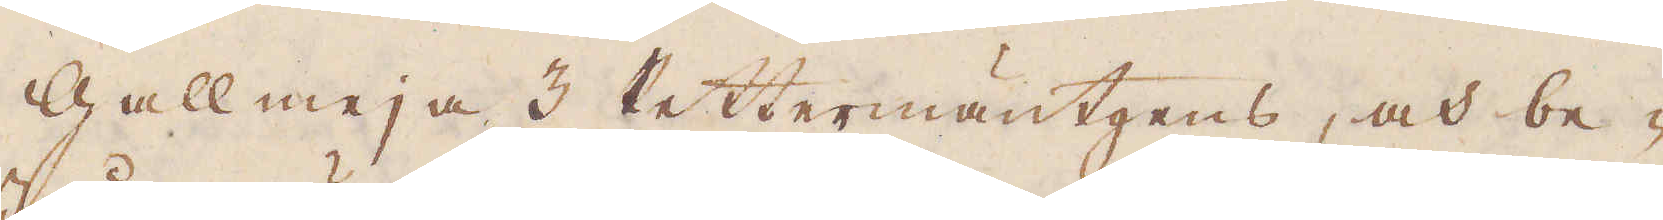Gallmeja 3 Rettermäntgens, och be-
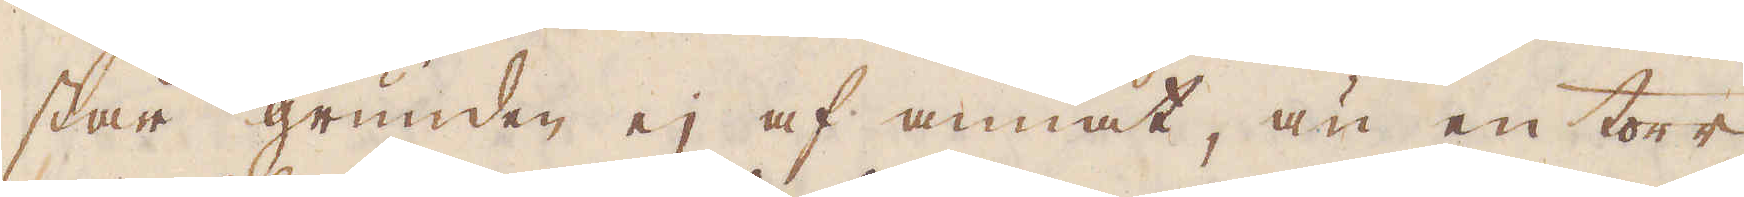står grunden ej af annat, än en torr
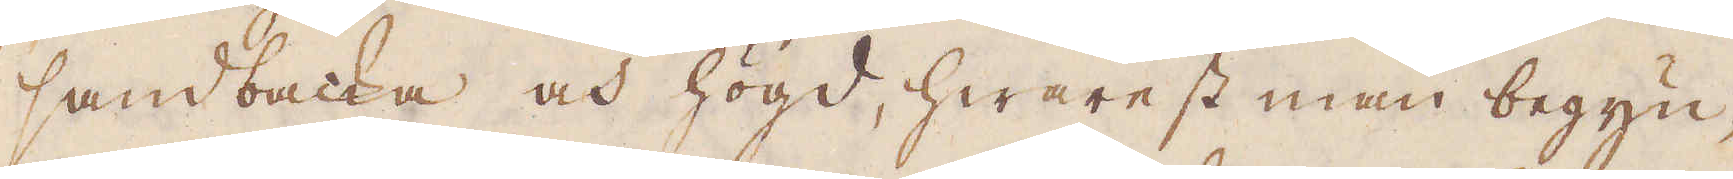sandbacka och högd, hwarest man begyn-
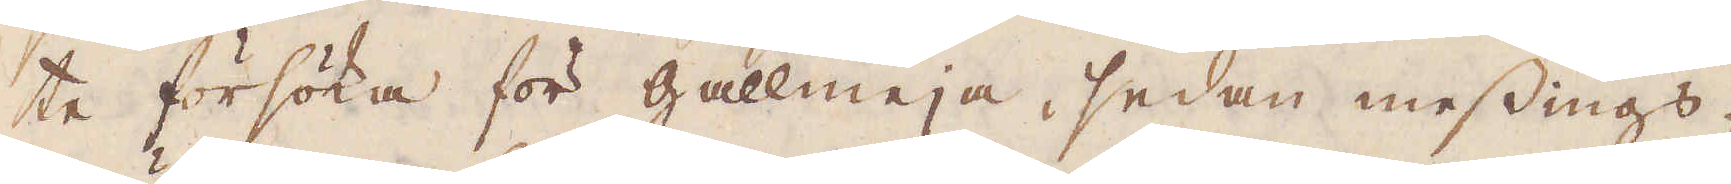te försöka för gallmeja, sedan messings-
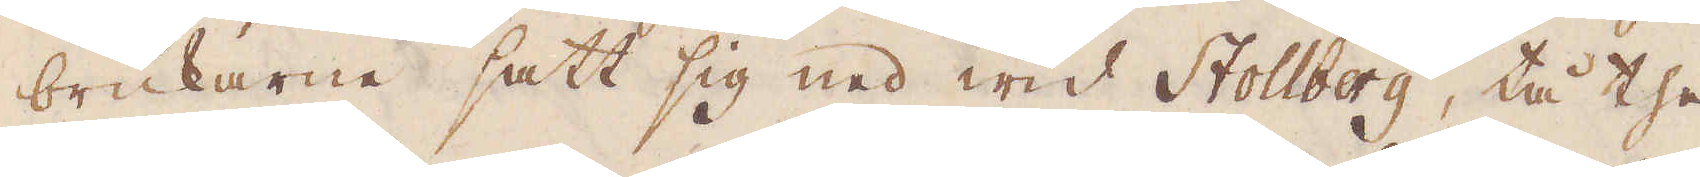brukarne satt sig ned wid Stollberg, tå the
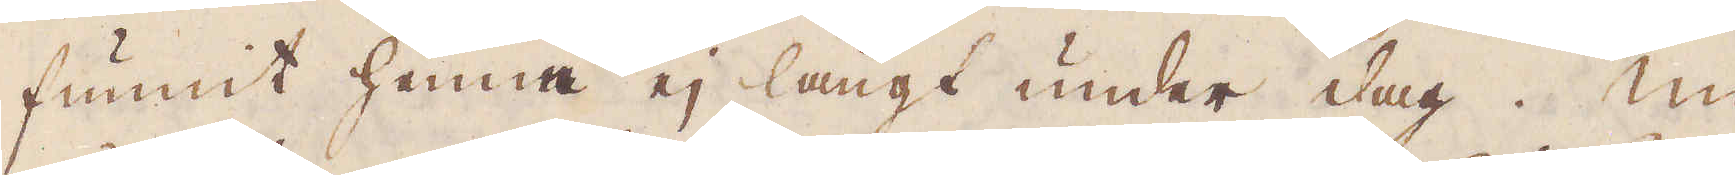funnit henne ej långt under dag. Nu
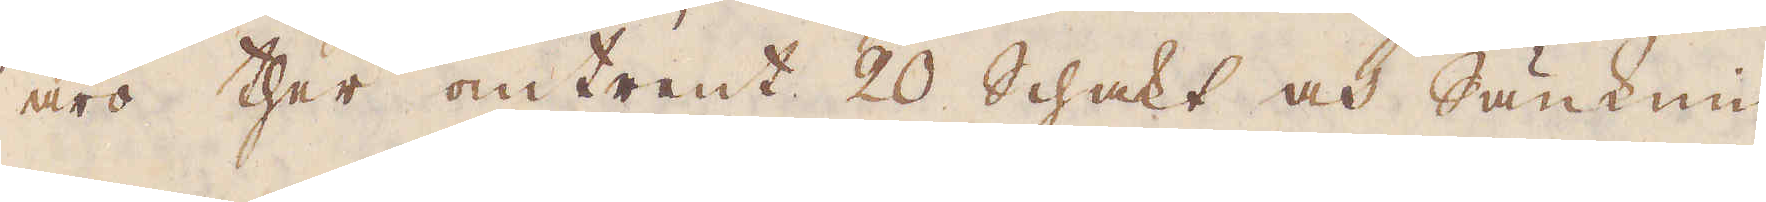äro ther omtrent 20 schakt och Sänknin-
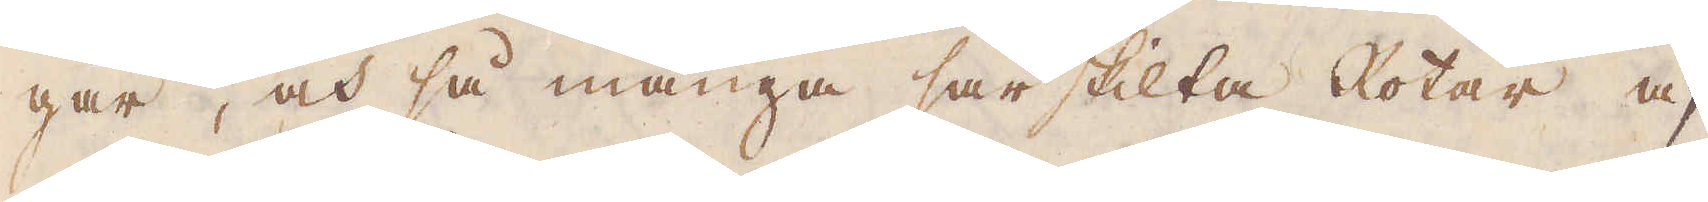gar, och så många särskilta Rotar af
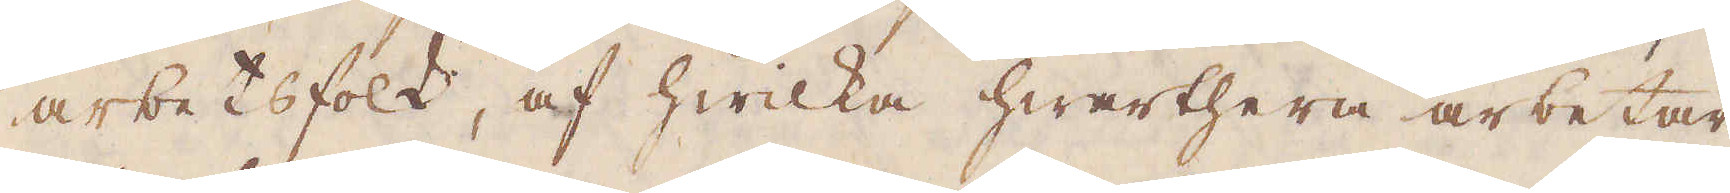arbetsfolk, af hwilka hwarthera arbetar
